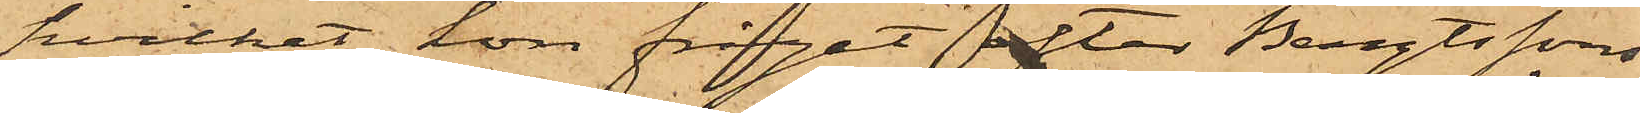hvilket hon frågat efter Bengtssons
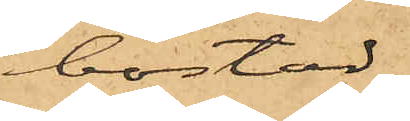bostad
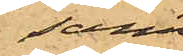samt
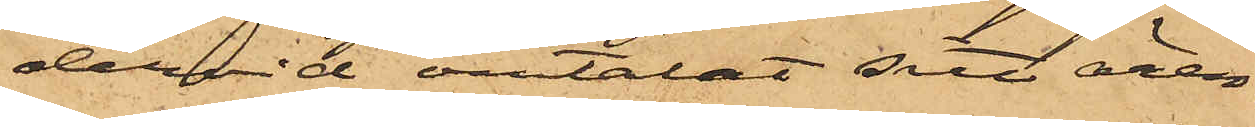dervid omtalat sitt ären¬
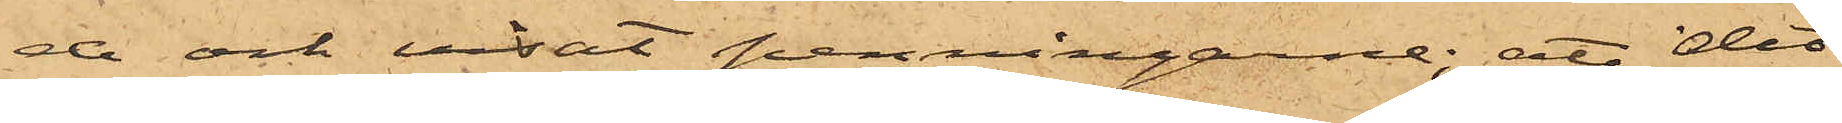de och visat penningarne; att det
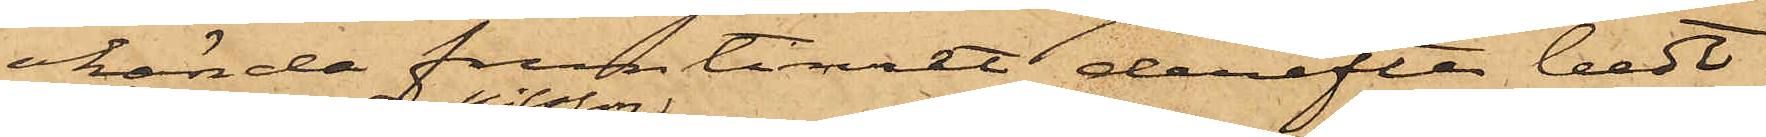okända fruntimret derefter bedt
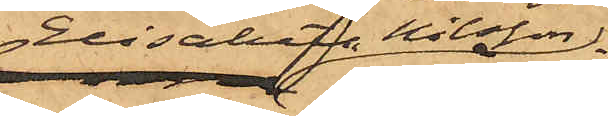Elisabeth Nilsson
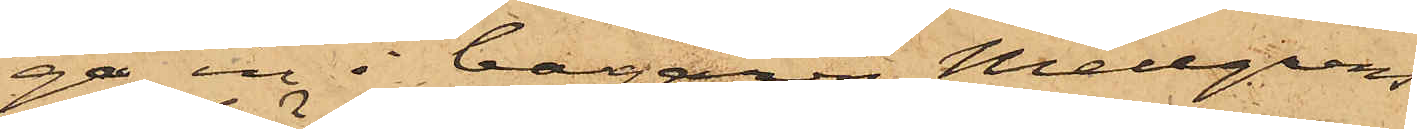ga in i bagaren Mellgrens
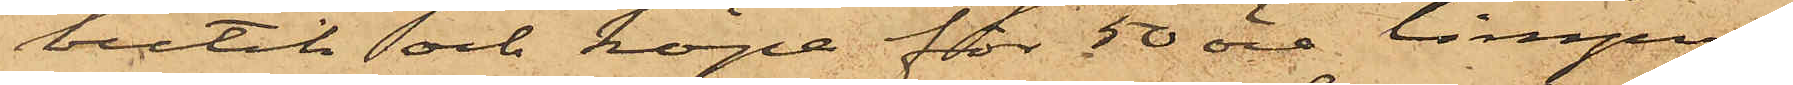butik och köpa för 50 öre limpor,
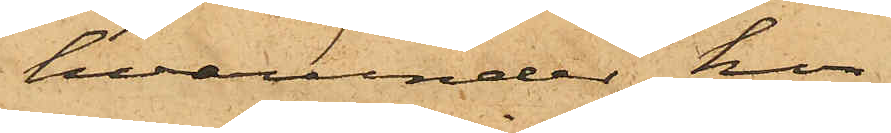hvarunder hon
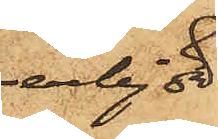erbjöd
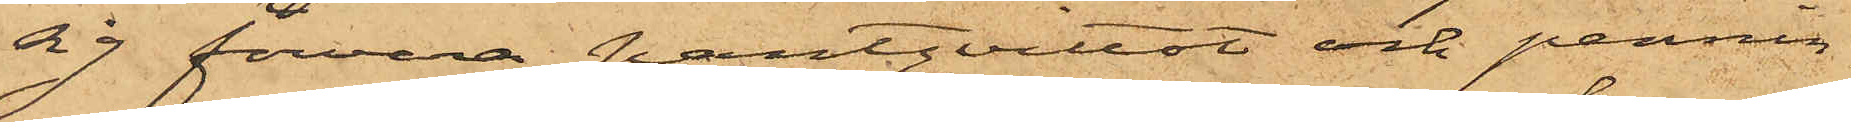sig förvara pantqvittot och pennin¬
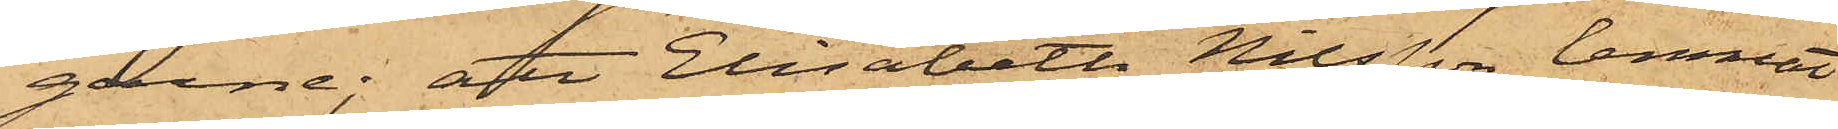garne; att Elisabeth Nilsson lemnat
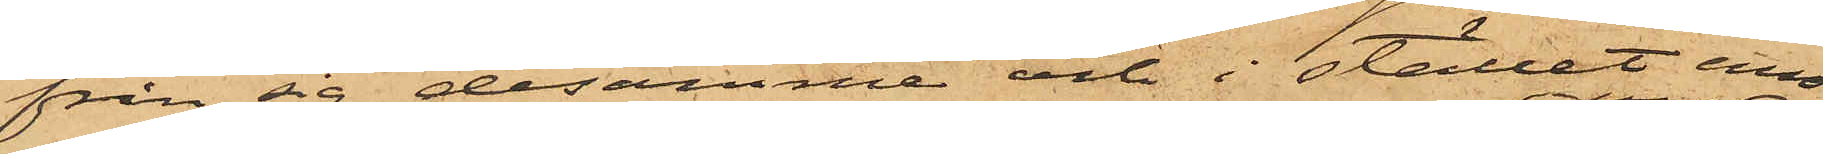från sig desamma och i stället emot¬
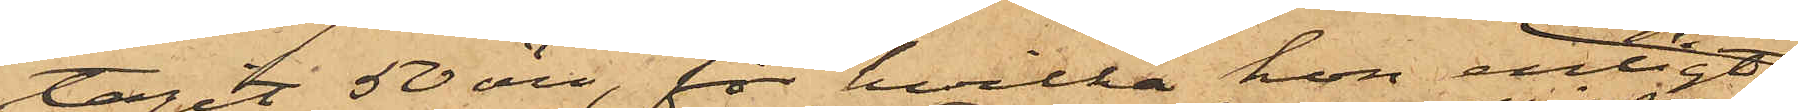tagit 50 öre, för hvilka hon enligt
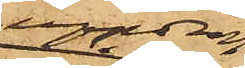uppdrag
